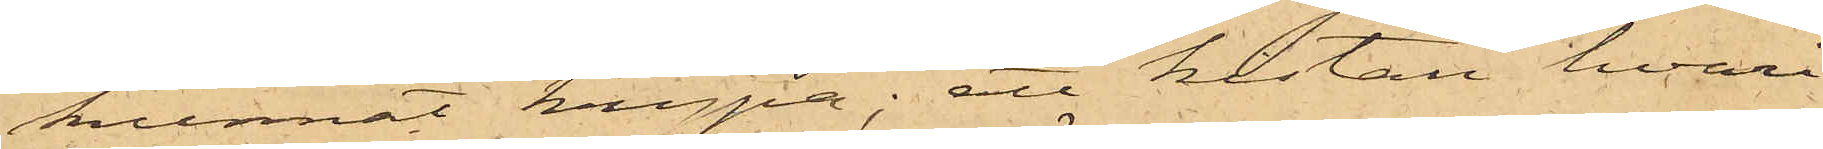kunnat krypa; att kistan, hvari
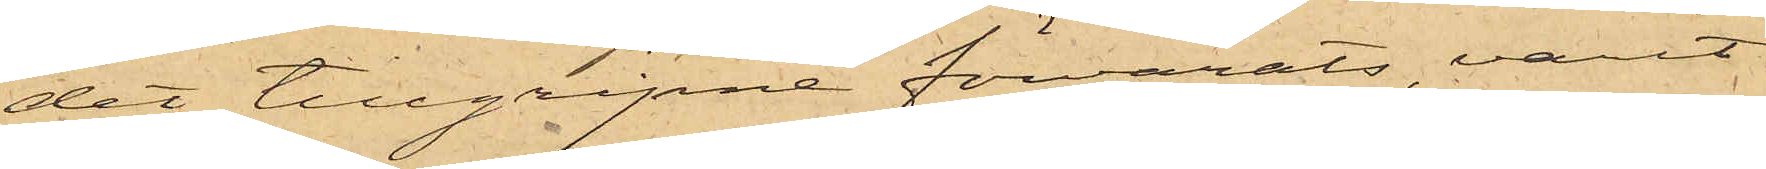det tillgripne förvarats, varit
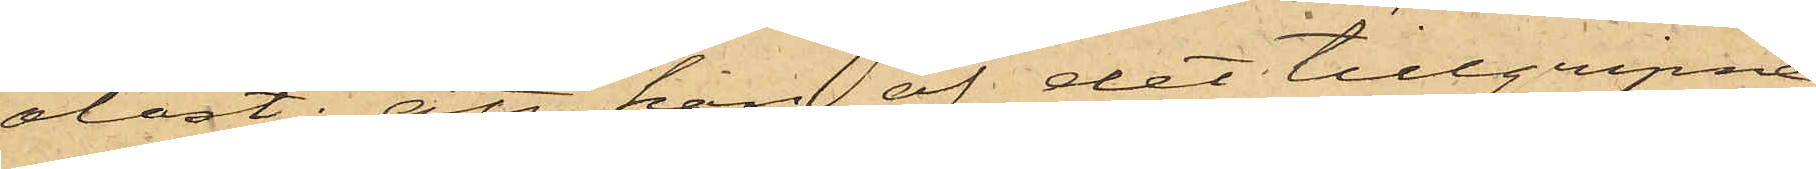olåst; att han af det tillgripne
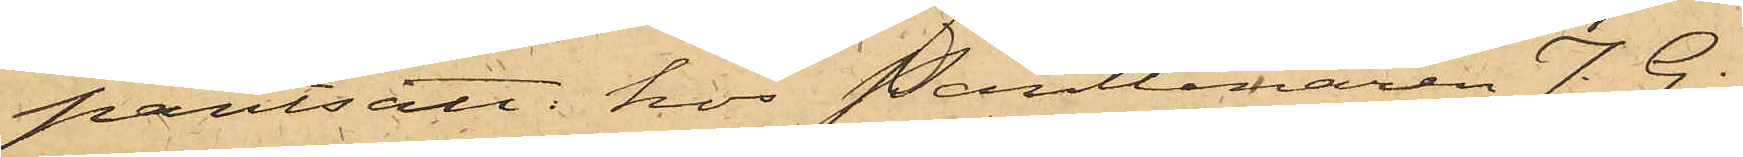pantsatt hos Pantlånaren J. G.
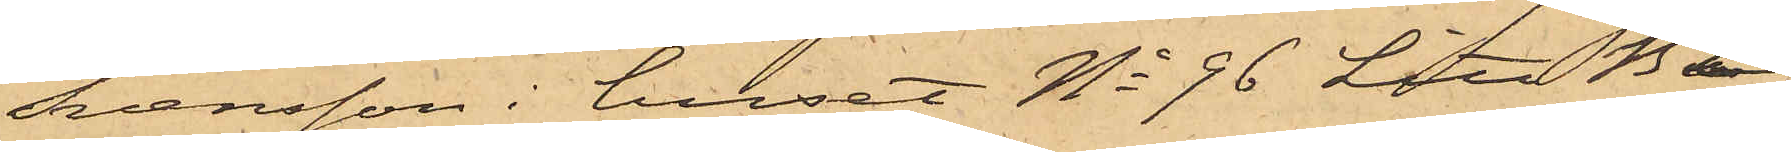Svensson i huset No 96 Litt B i
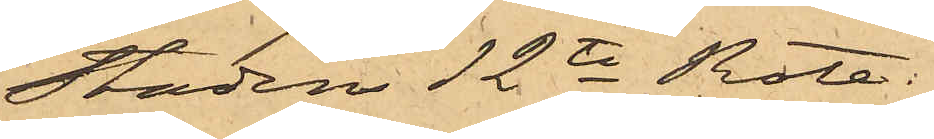Staden 12te Rote:
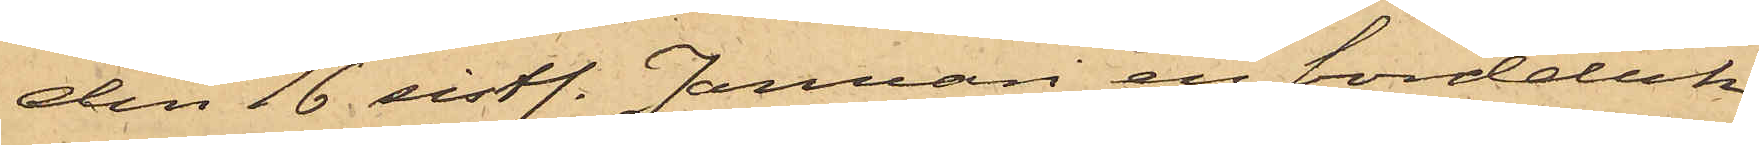den 16 sistl. Januari en bordduk
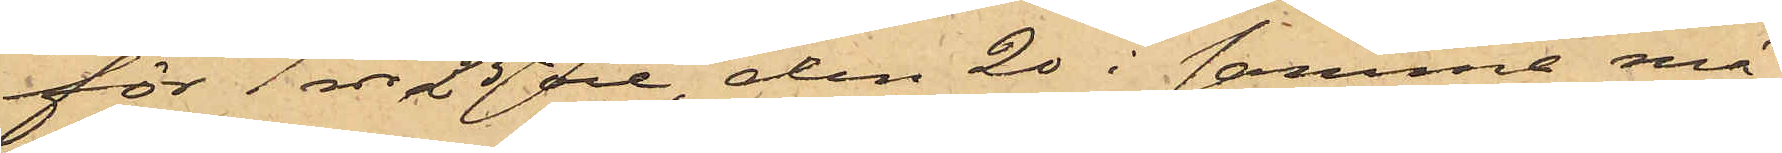för 1 rdr 25 öre, den 20 i samma må¬
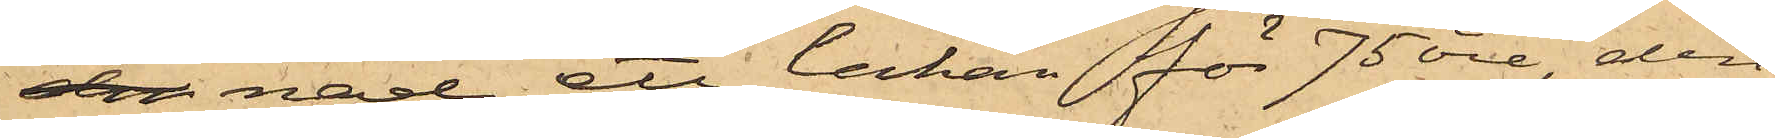den nad ett lakan för 75 öre, den
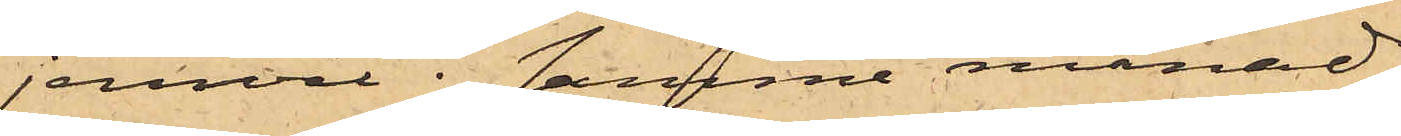jemväl i samma månad
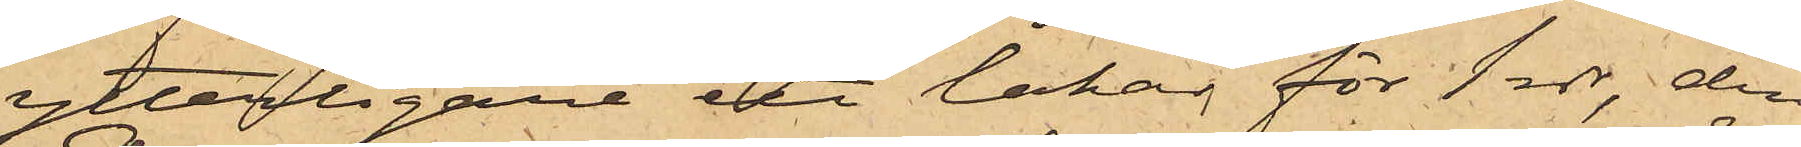ytterligare ett lakan för 1 rdr, den
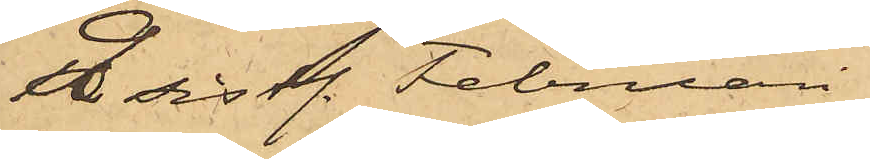9 sistl. Februari
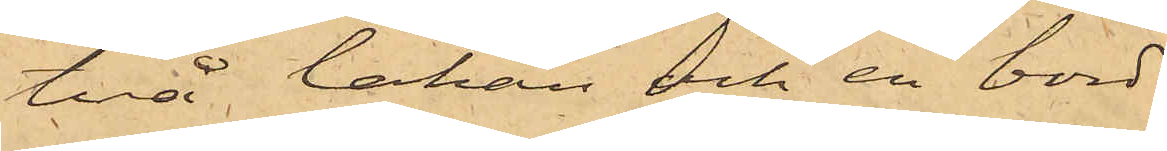två lakan och en bord¬
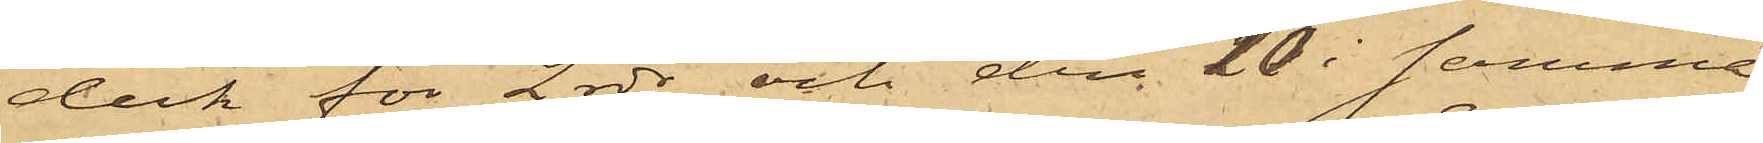duk för 2 rdr och den 10 i samma
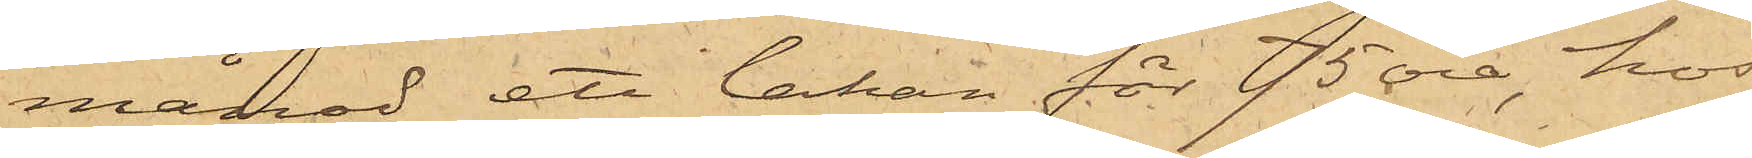månad ett lakan för 75 öre, hos
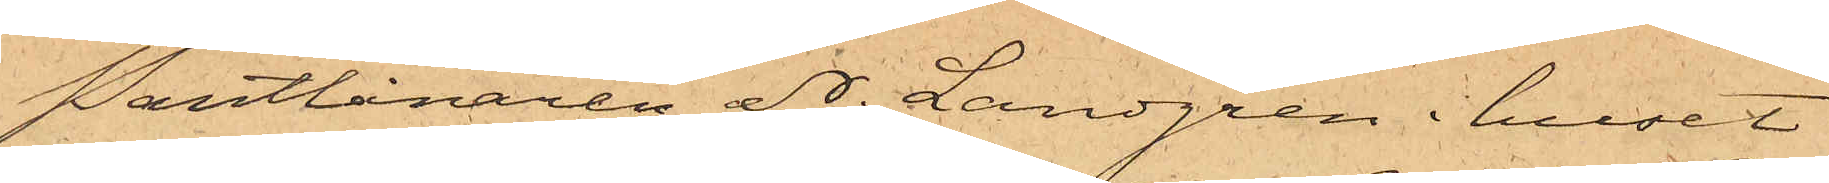Pantlånaren N. Landgren i huset
